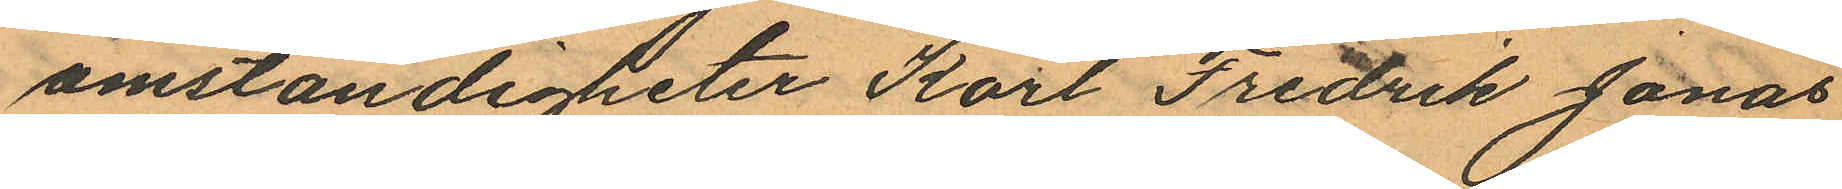omständigheter Karl Fredrik Jonas
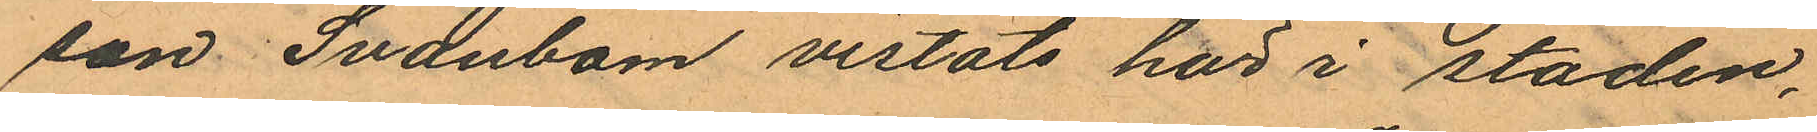son Svanbom vistats här i staden,
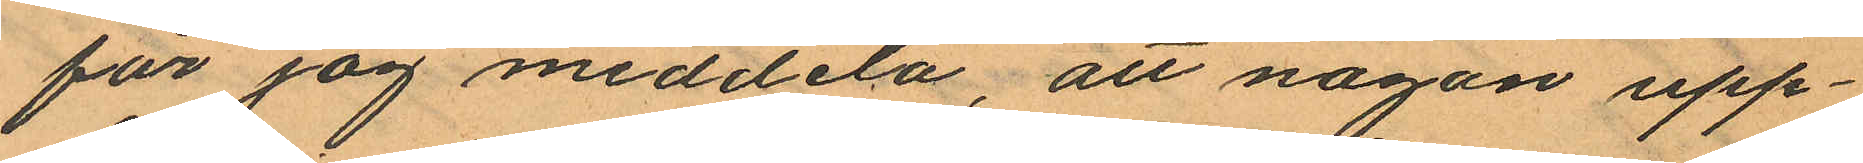får jag meddela, att någon upp¬
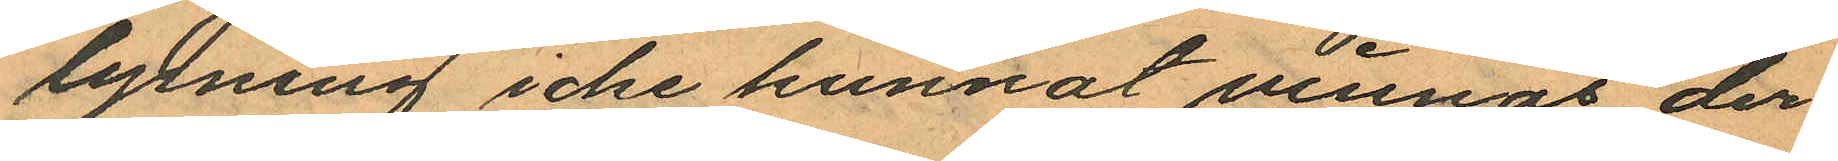lysning icke kunnat vinnas der¬
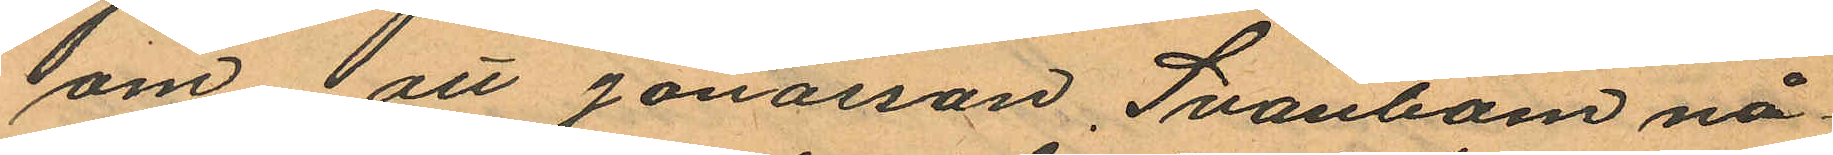om att Jonasson Svanbom nå¬
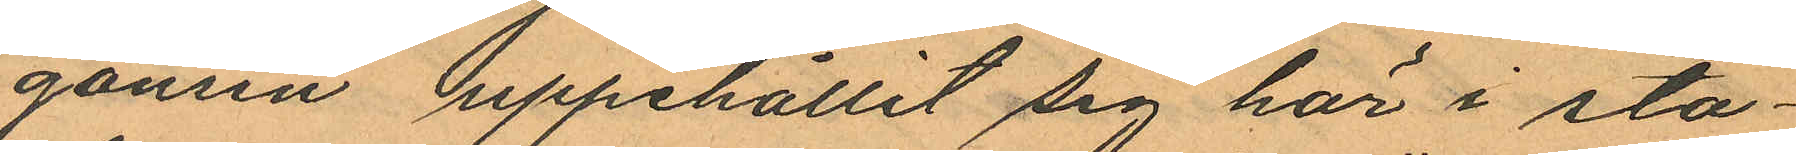gonsin uppehållit sig här i sta¬
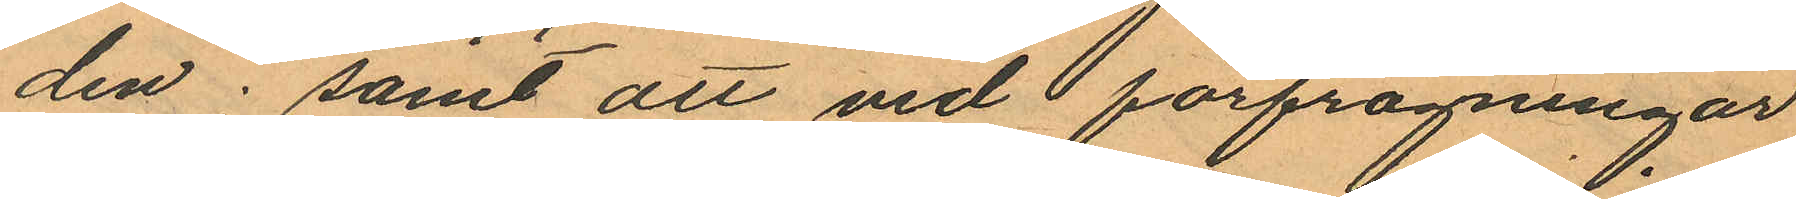den; samt att vid förfrågningar
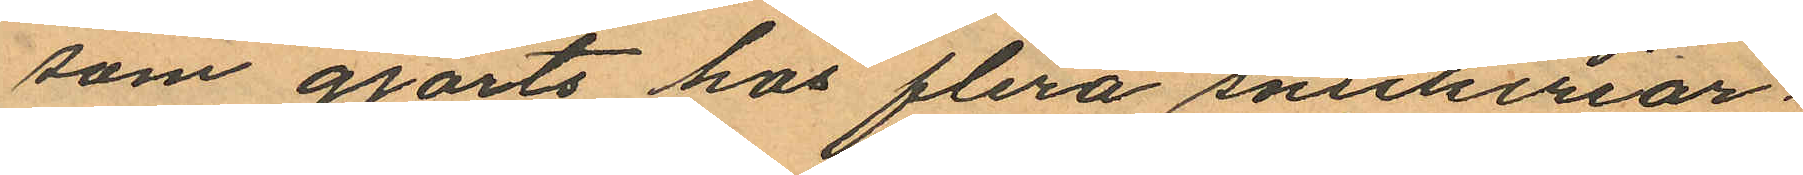som gjorts hos flera snickeriar¬
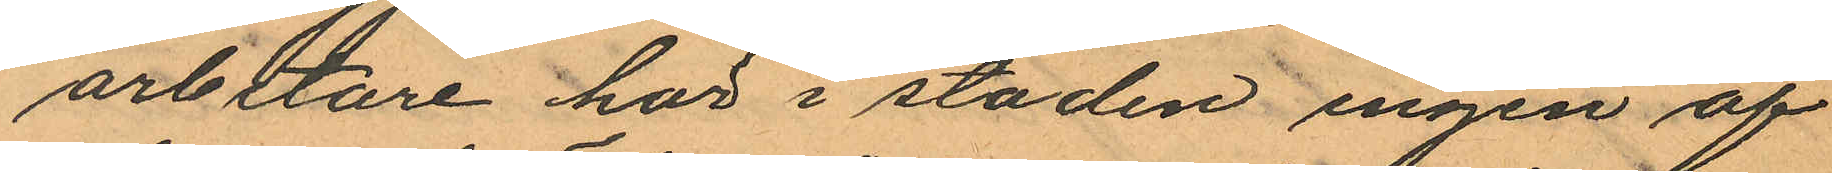arbetare här i staden ingen af
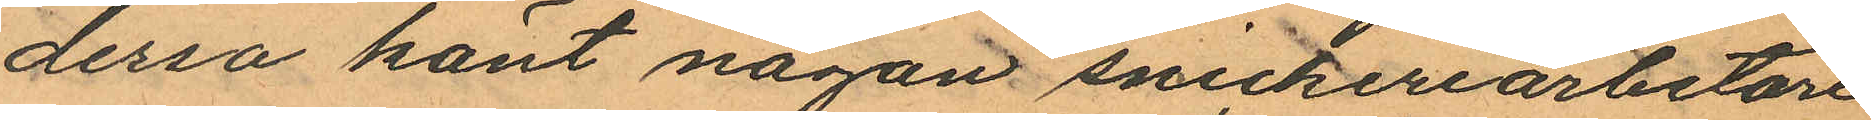dessa känt någon snickeriarbetare
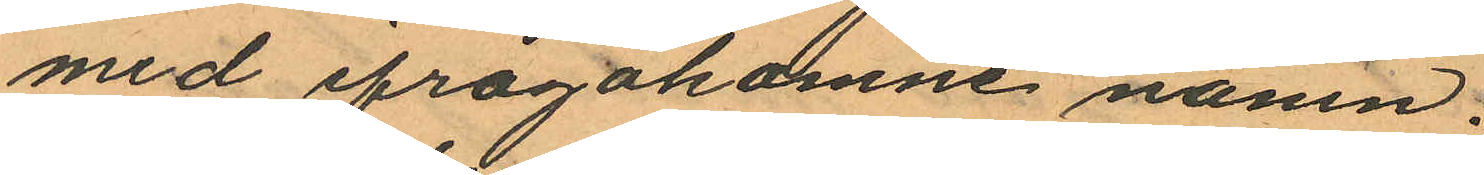med ifrågakomne namn.
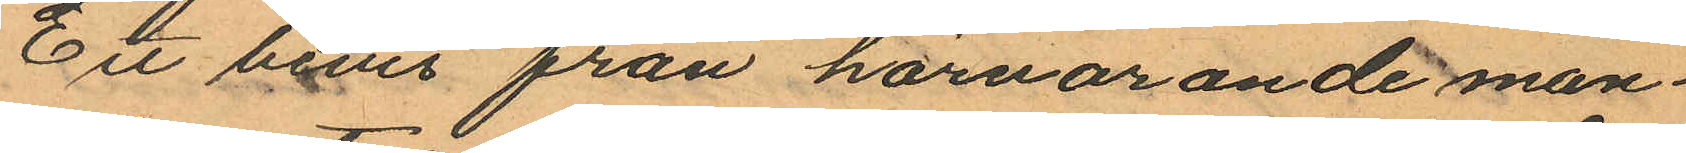Ett bevis från härvarande man¬
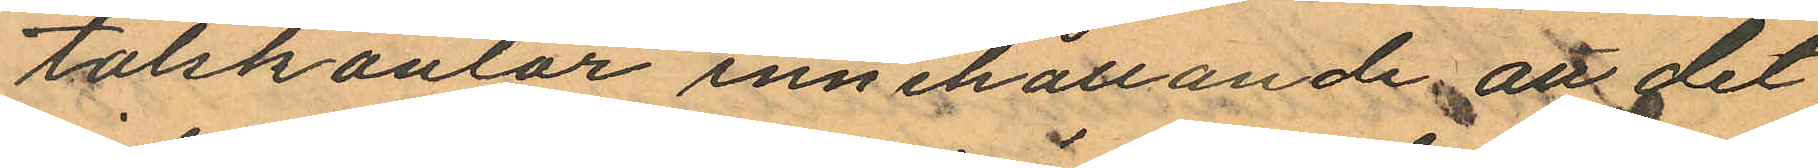talskontor innehållande att det
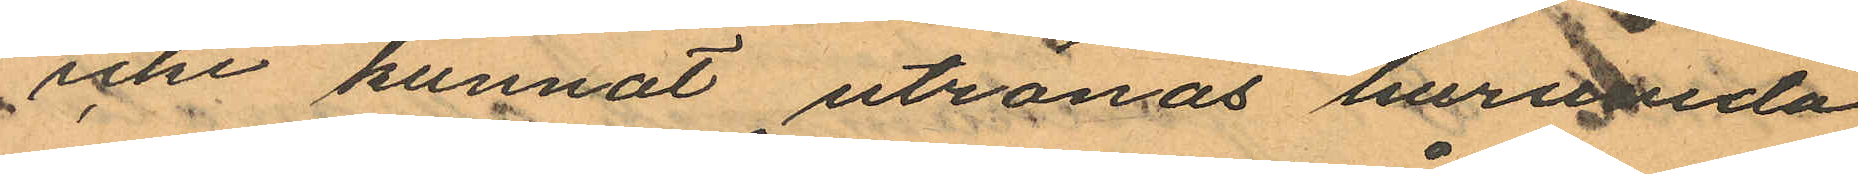icke kunnat utrönas huruvida
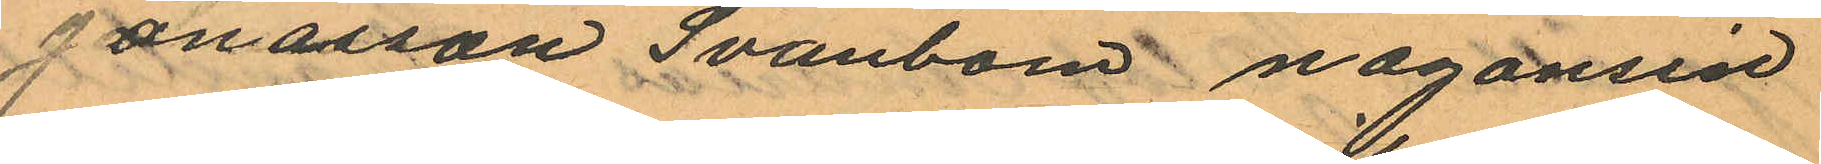Jonasson Svanbom någonsin
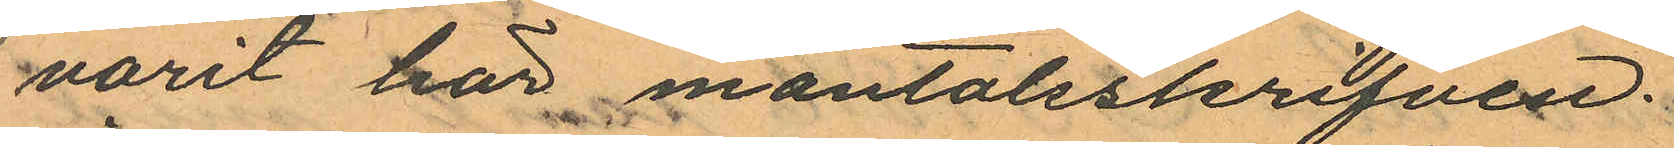varit här mantalsskrifven.
